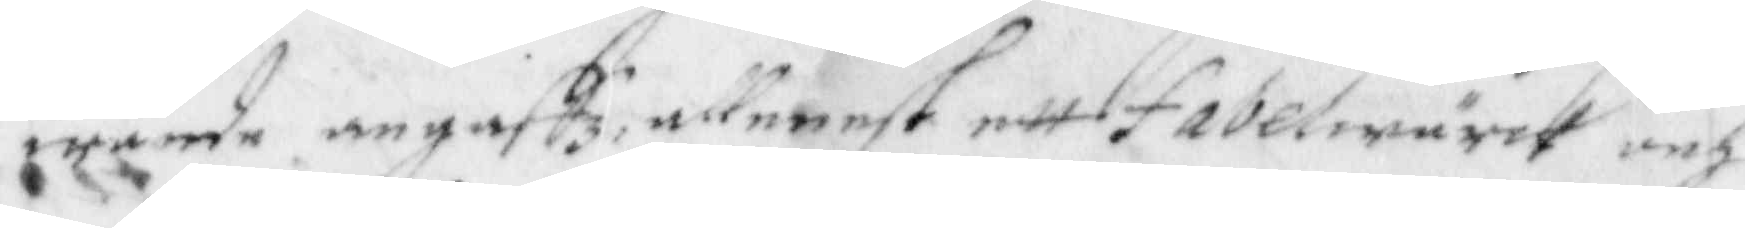wande angaffz, allenast ett fabelwärck och
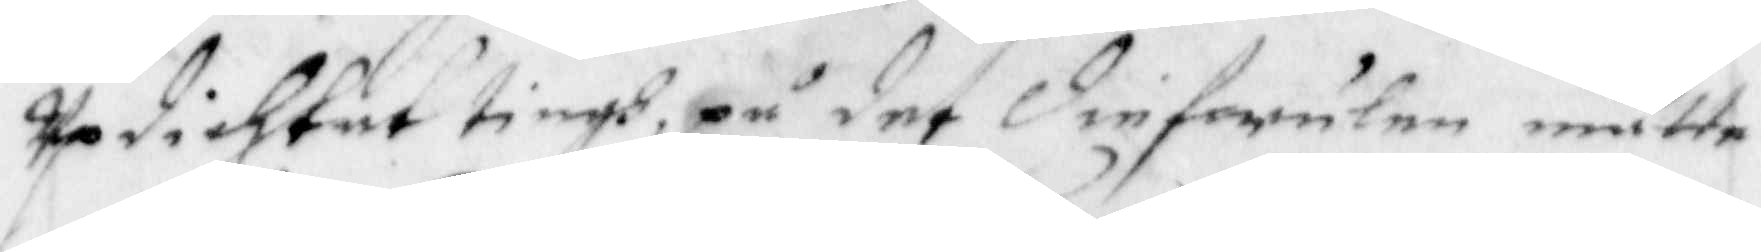Updichtat tingh, på det diefwulen måtte
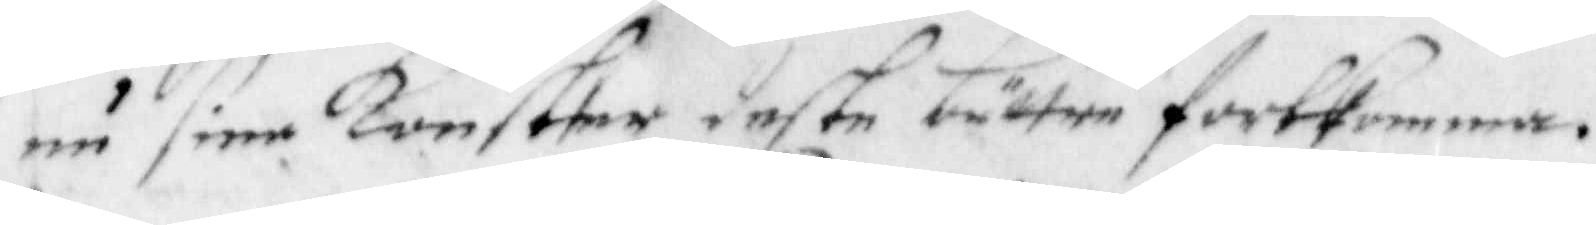nu dine Konster deste bättre fortkomma.
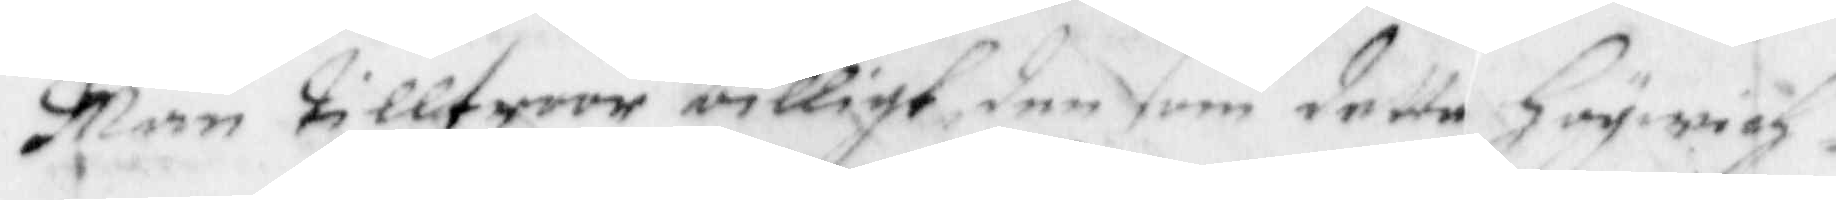Man tilltroor billigt den som detta Högwich¬
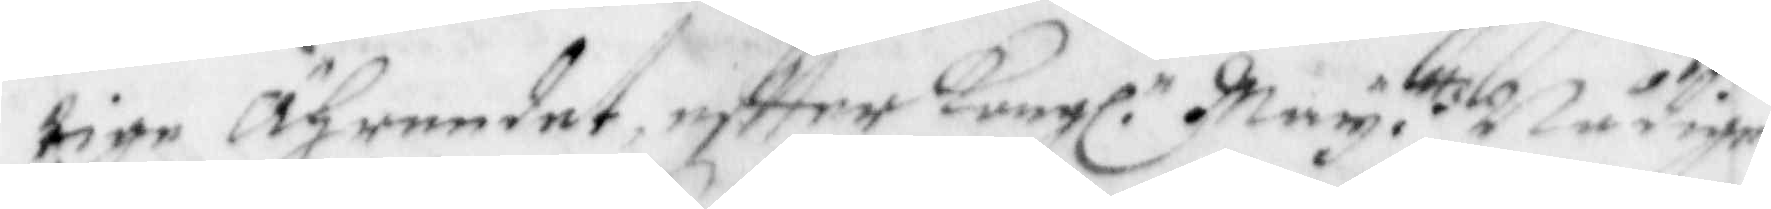tige Ährendet, eftter Kungl. May. ttz Nådige
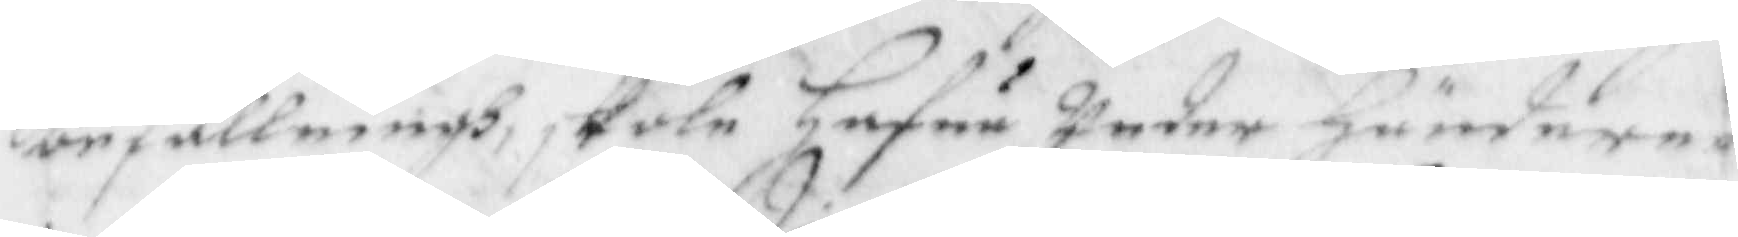befallningh, skole Hafua Under Hänaderne
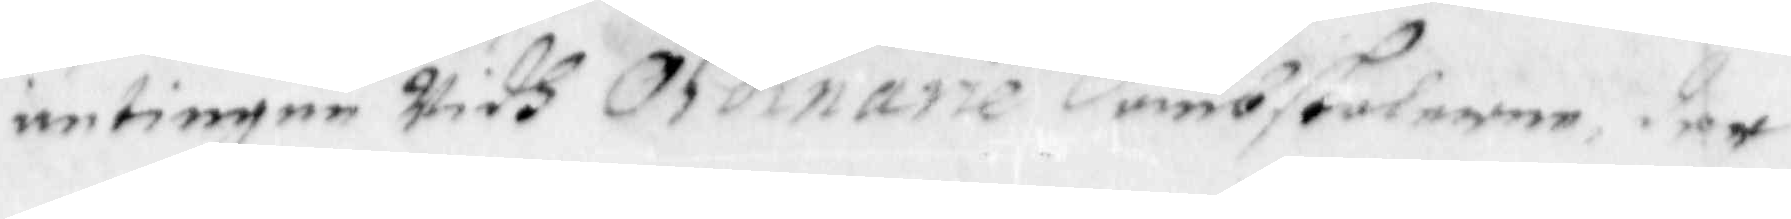antingen Widh Ordinarie dombstolerne, der
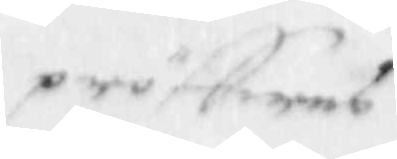pröffwes
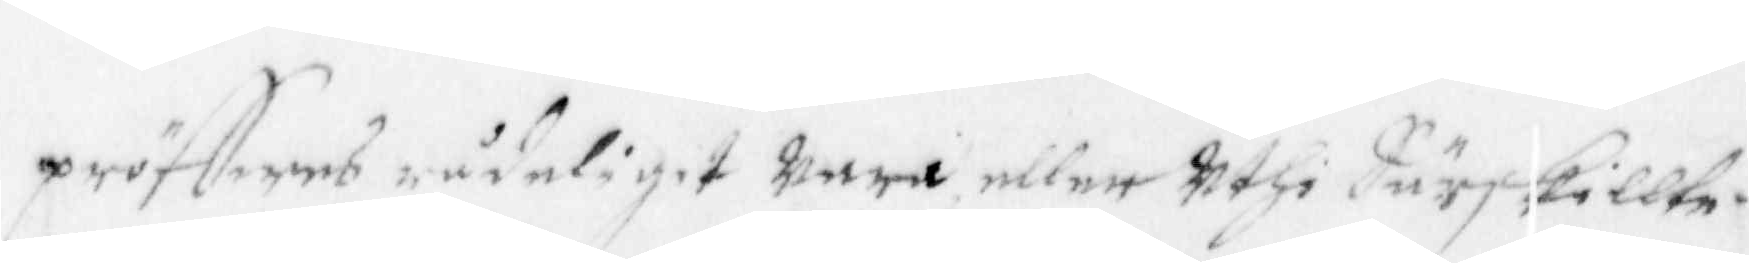pröffwes nådeligit wara eller Uthi Särskillte
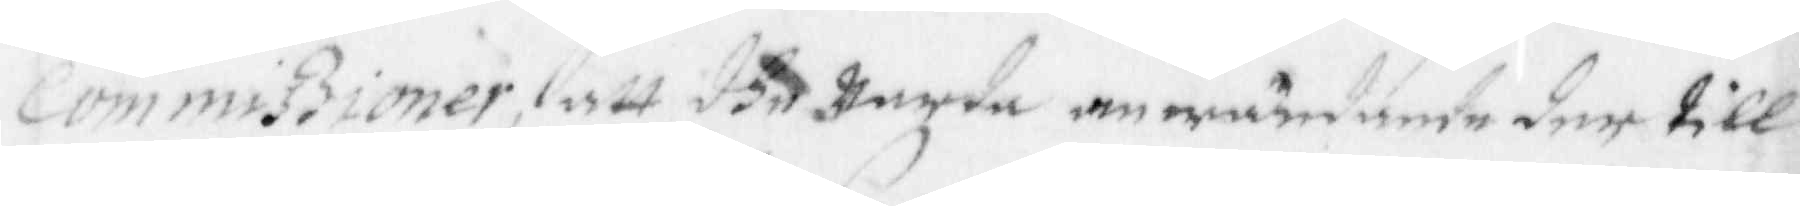Commißioner, att dhe warde anwändande der till
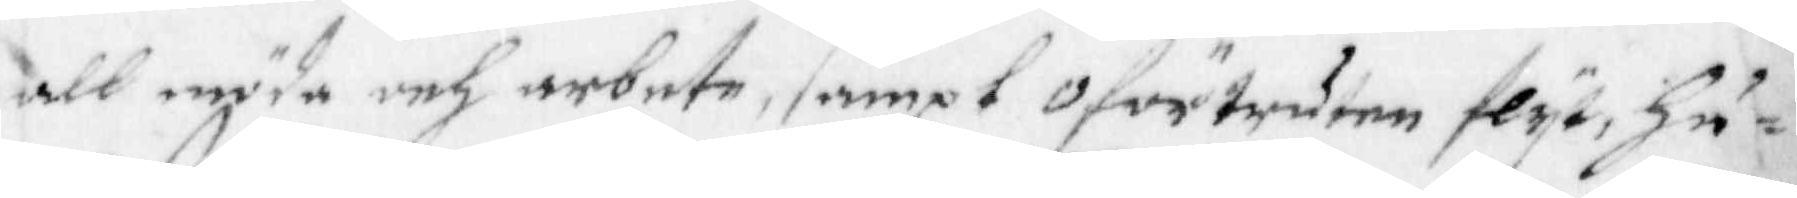all möda och arbete, sampt Oförtruten flyt, Hu¬
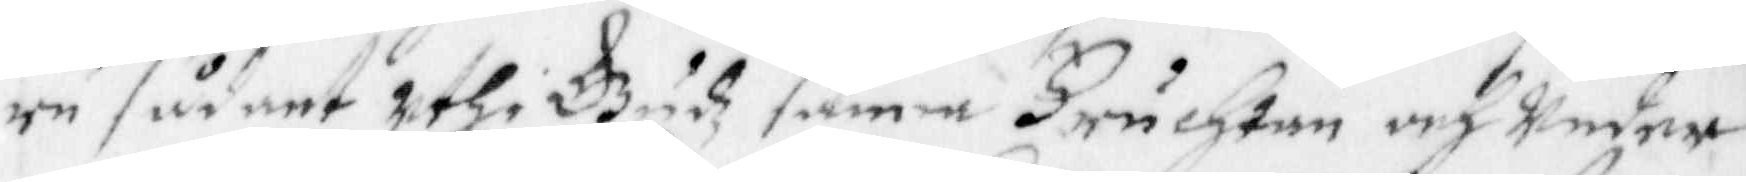ru sådant Uthi Gudz sanna Fruchtan och Under
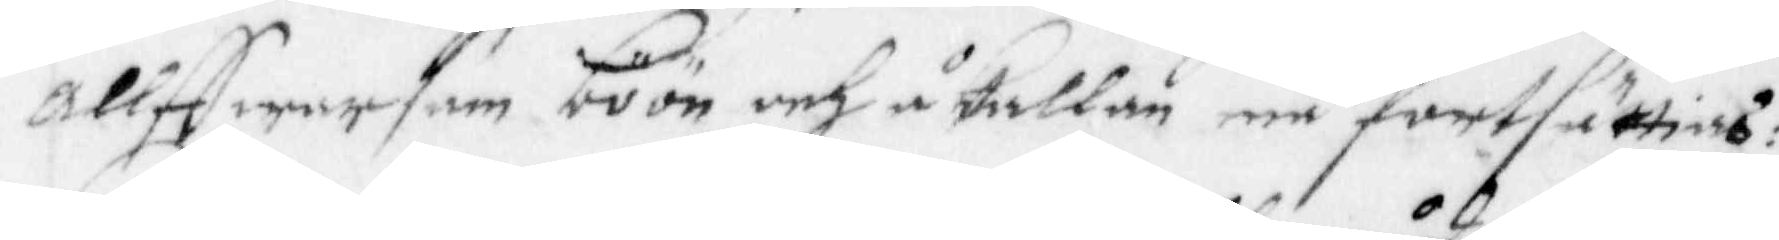Allffwarsam böön och åkallan må fortsättias:
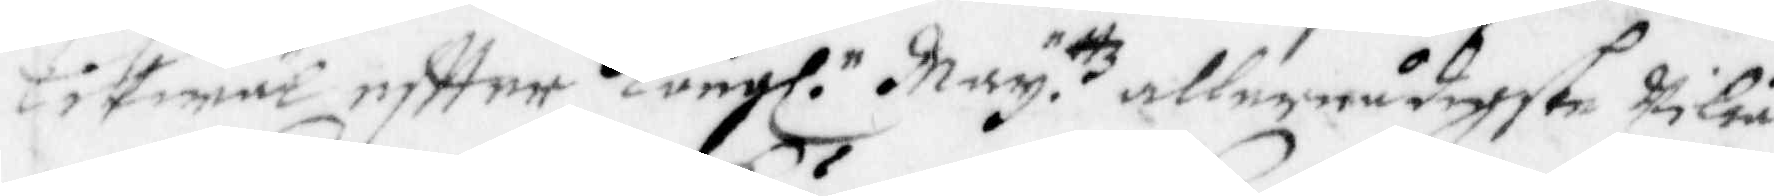Likwäl eftter Kongl. May. ttz allernådigste Wilia
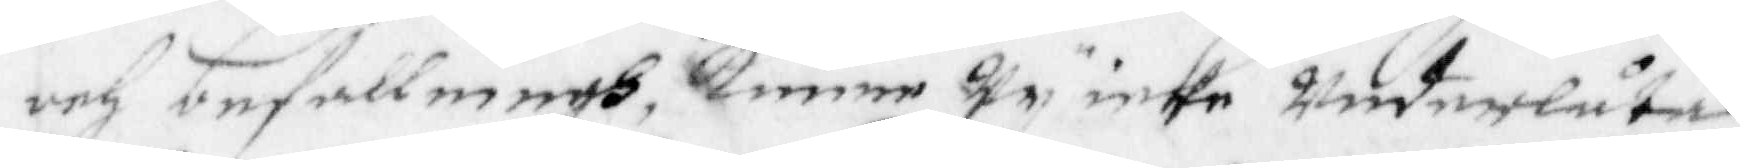och befallningh, Kunne Wy icke underlåta
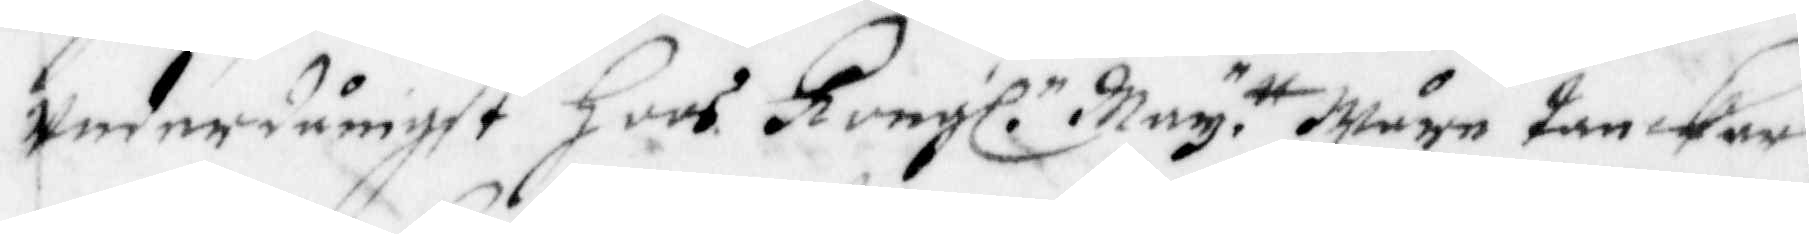Underdånigst hoos Kongl. May. tt Wåre tankar
